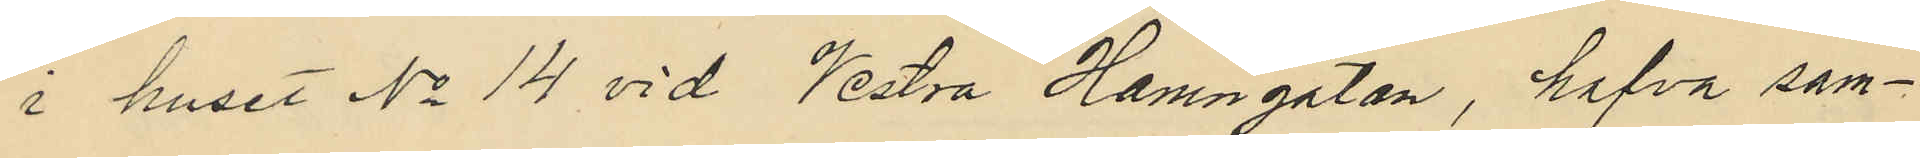i huset No 14 vid Vestra Hamngatan, hafva sam¬
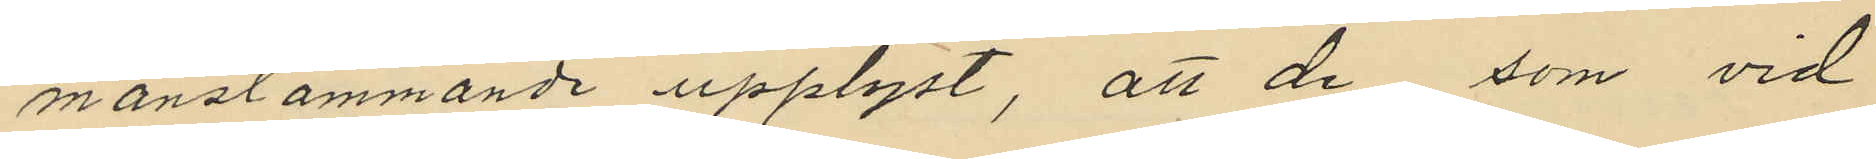manstämmande upplyst, att de som vid
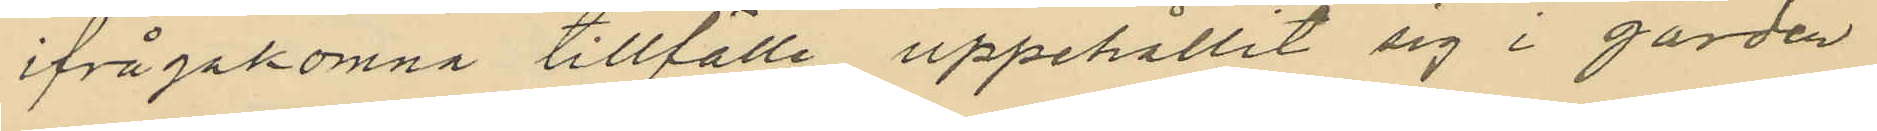ifrågakomna tillfälle uppehållit sig i gården
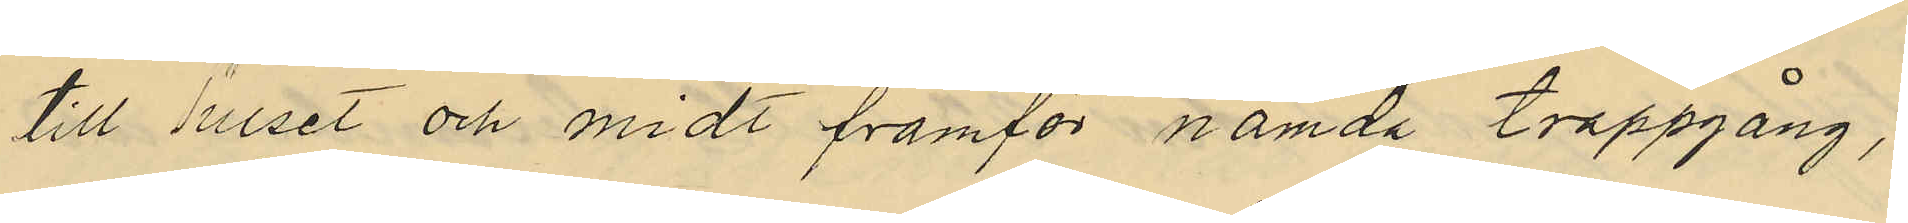till huset och midt framför nämda trappgång,
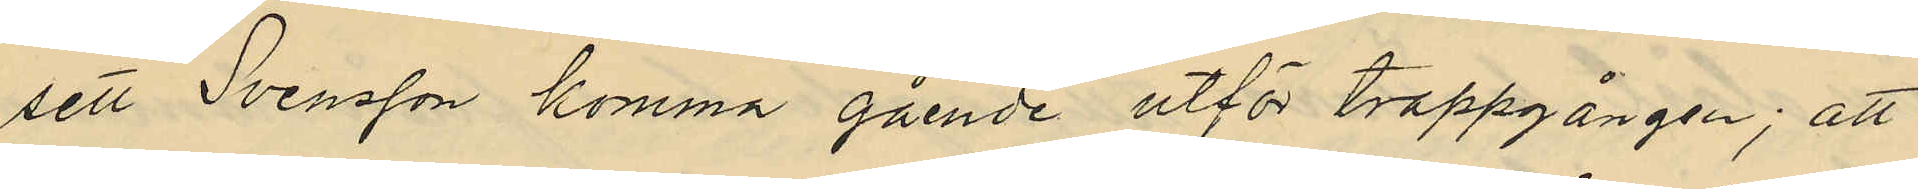sett Svensson komma gående utför trappgången; att
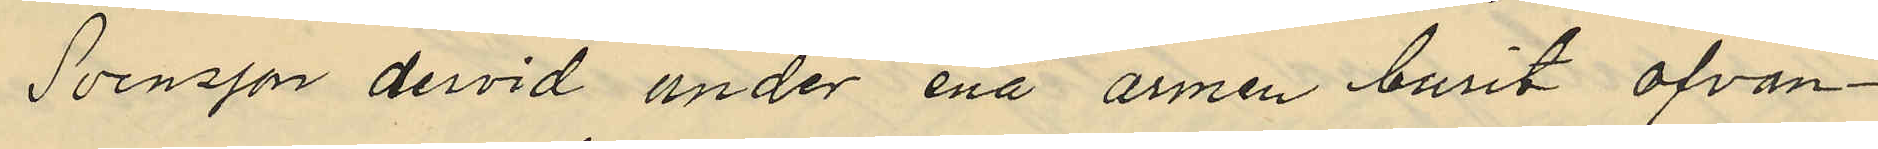Svensson dervid under ena armen burit ofvan¬
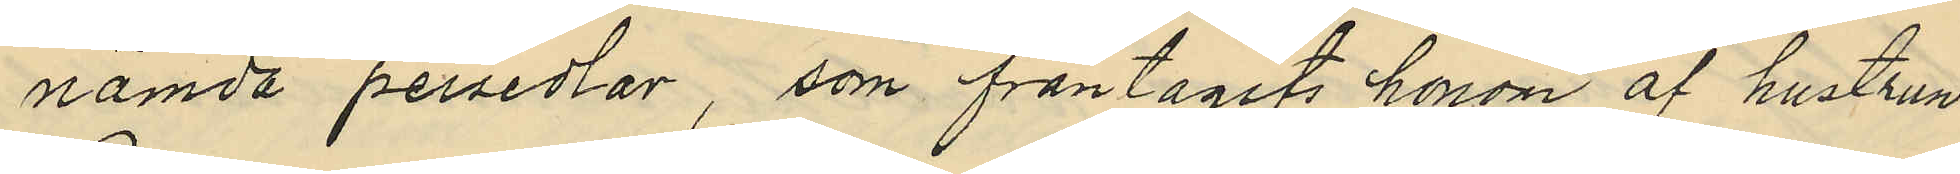nämda persedlar, som fråntagits honom af hustrun
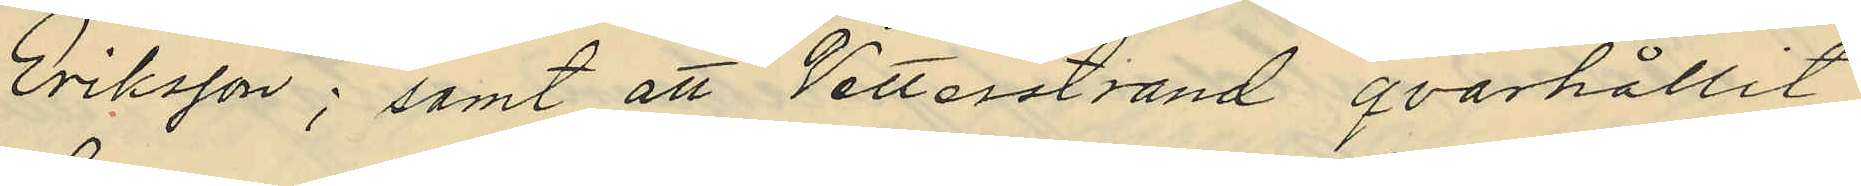Eriksson; samt att Vetterstrand qvarhållit
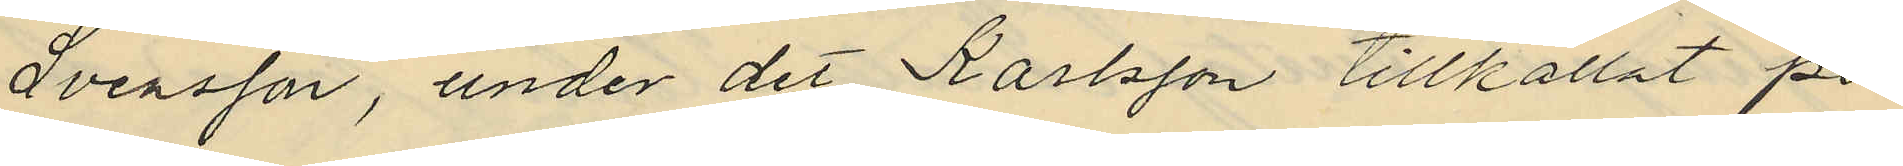Svensson, under det Karlsson tillkallat po¬
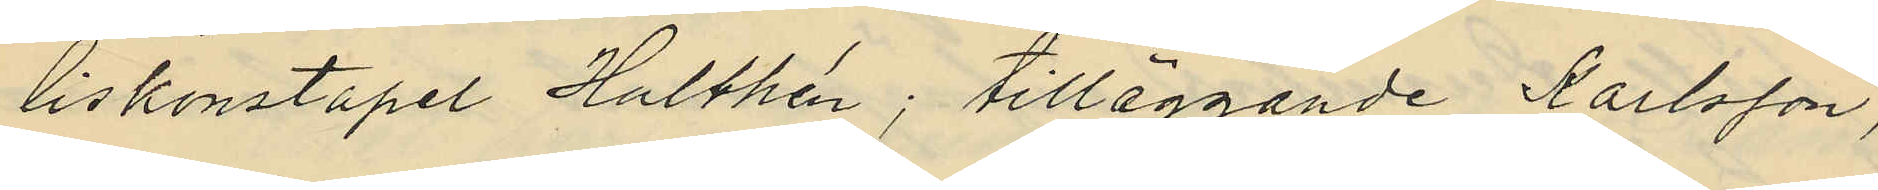liskonstapel Hulthén; tilläggande Karlsson,
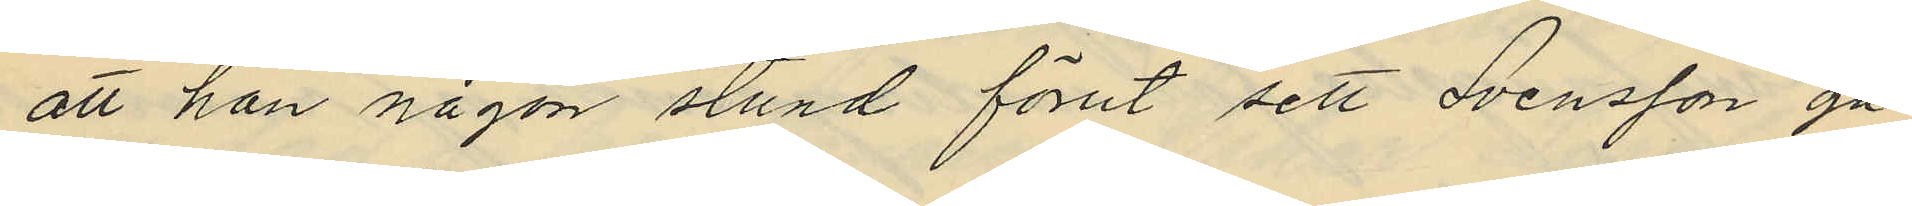att han någon stund förut sett Svensson gå
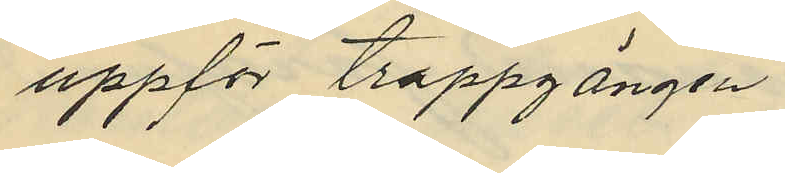uppför trappgången.
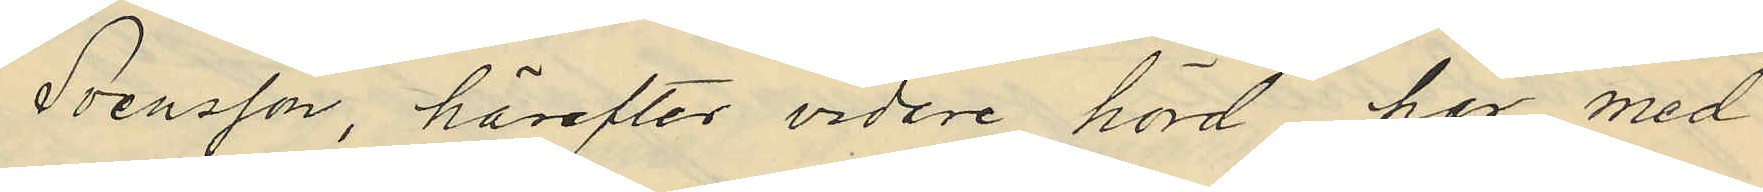Svensson, härefter vidare hörd har med
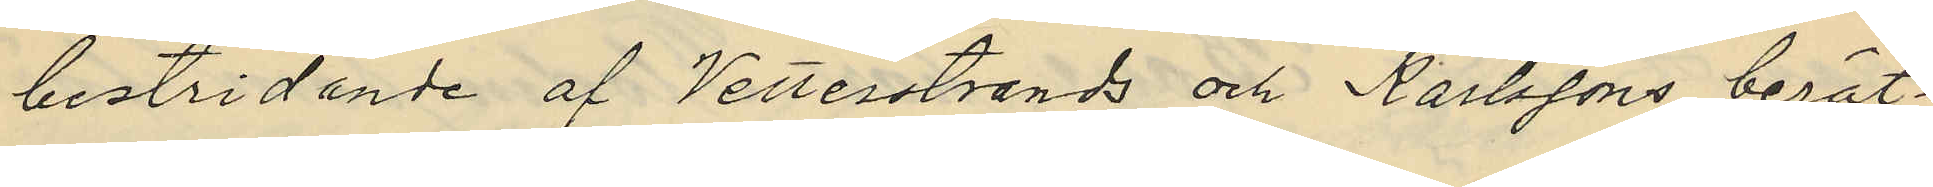bestridande af Vetterstrands och Karlssons berät¬
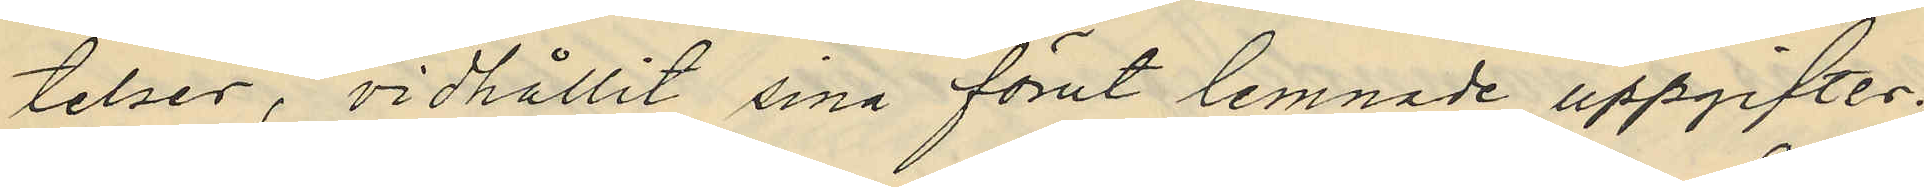telser, vidhållit sina förut lemnade uppgifter.
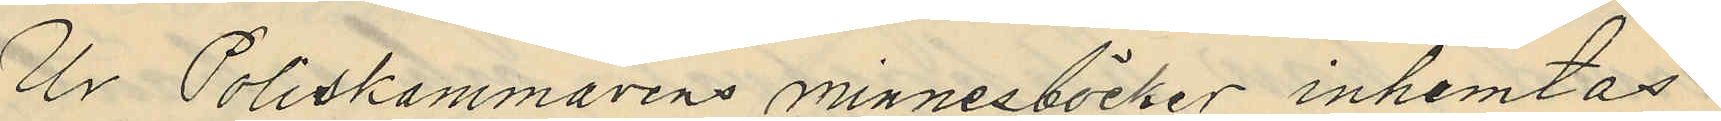Ur Poliskammarens minnesböcker inhemtas
